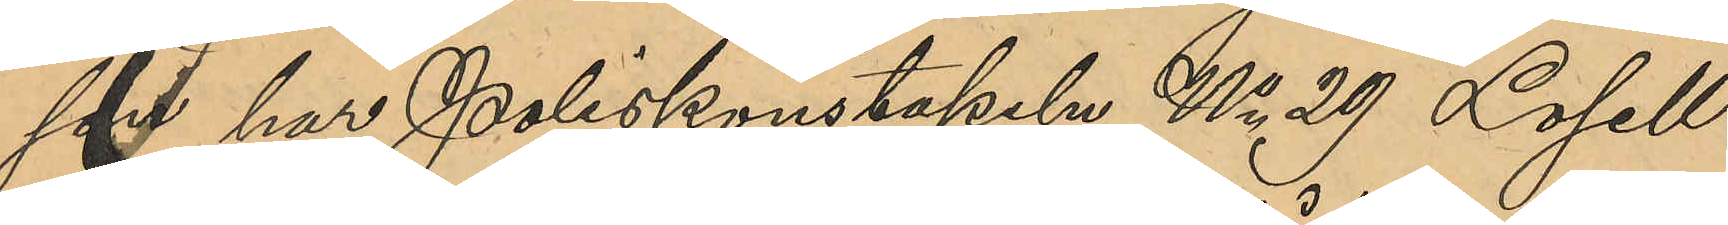son har Poliskonstapeln No 29 Losell
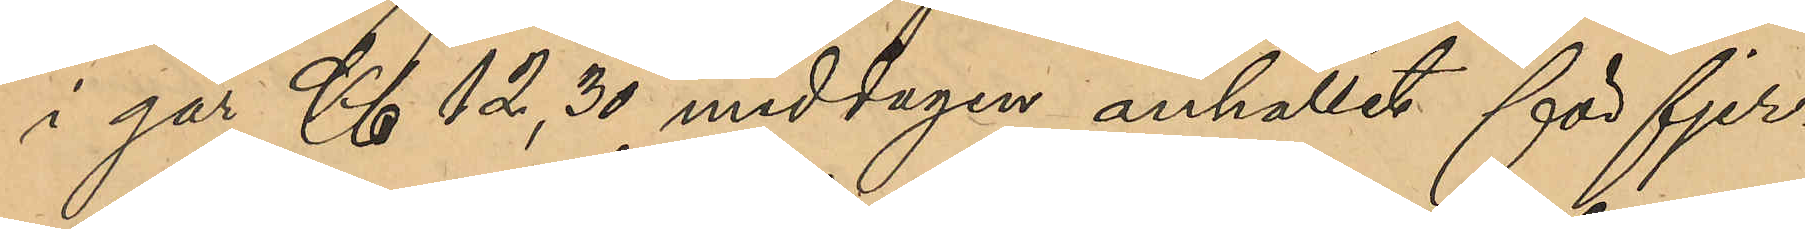i går Kl 12,30 middagen anhållit för fjer¬
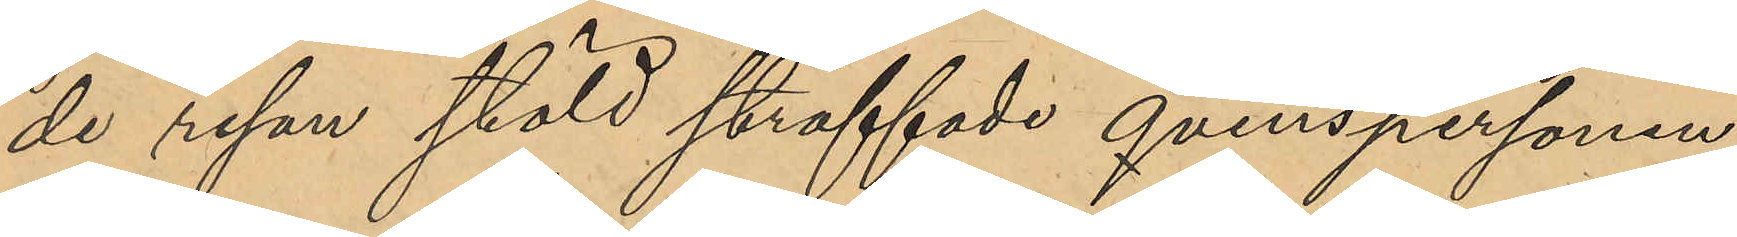de resan stöld straffade qvinnspersonen
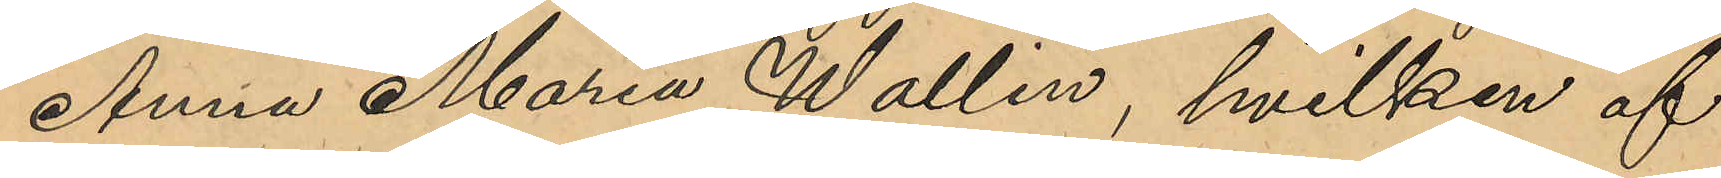Anna Maria Wallin, hvilken af
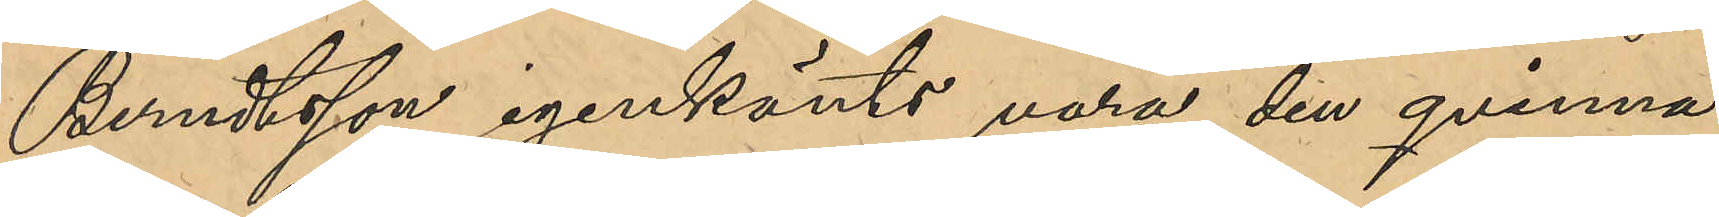Berndtsson igenkänts vara den qvinna
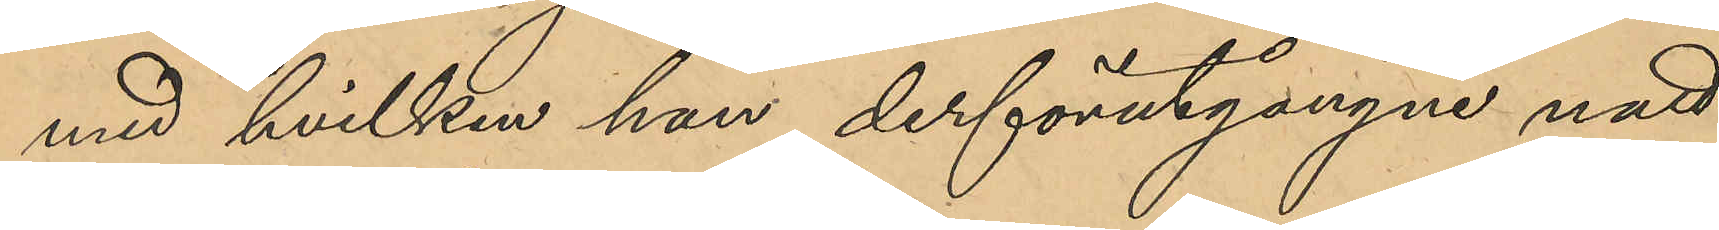med hvilken han derförutgångne natt
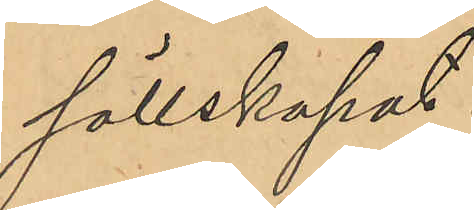sällskapat.
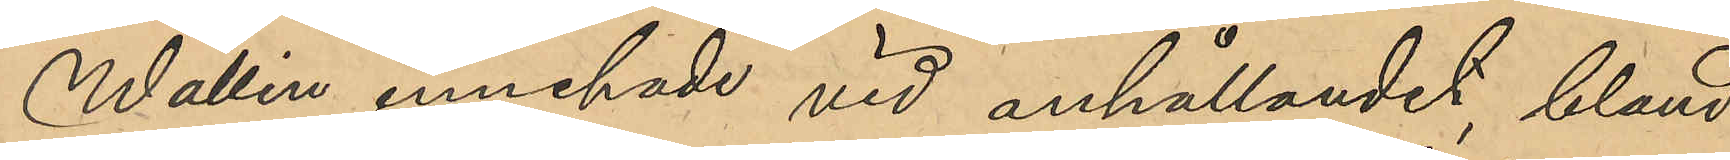Wallin innehade vid anhållandet, bland
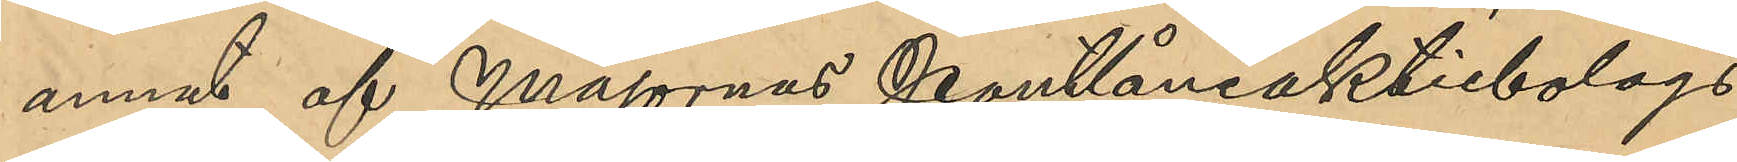annat, af Majornas Pantlåneaktiebolags
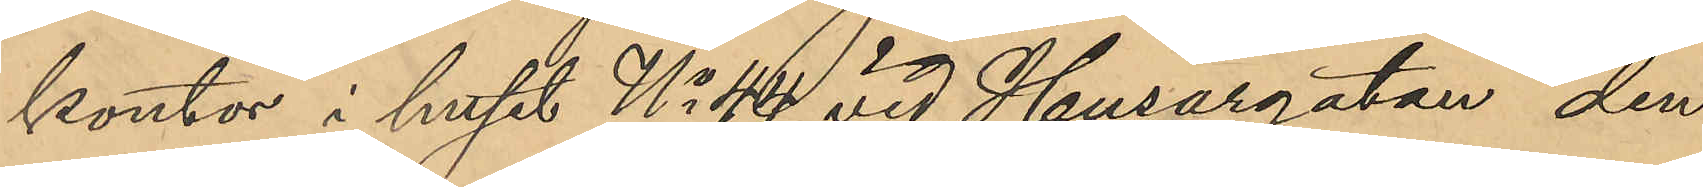kontor i huset No 44 vid Husargatan den
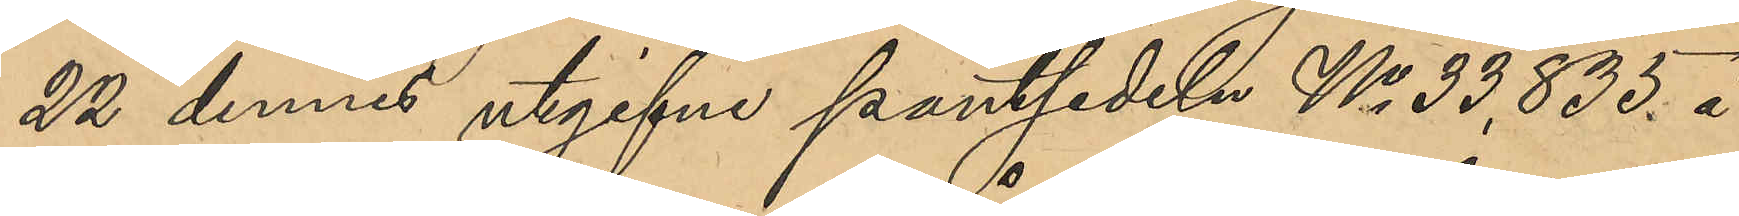22 dennes utgifne pantsedeln No 33,835 å
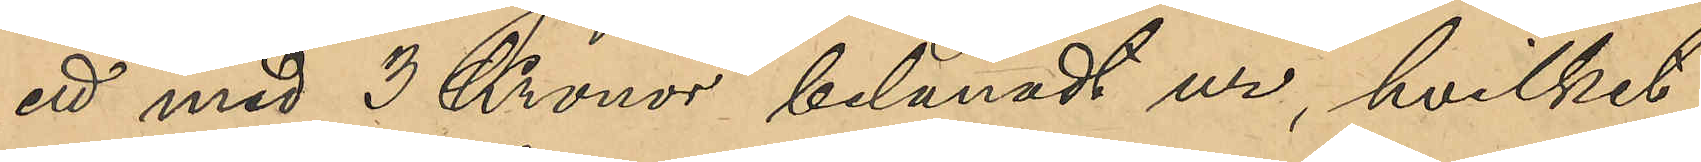ett med 3 Kronor belånat ur, hvilket
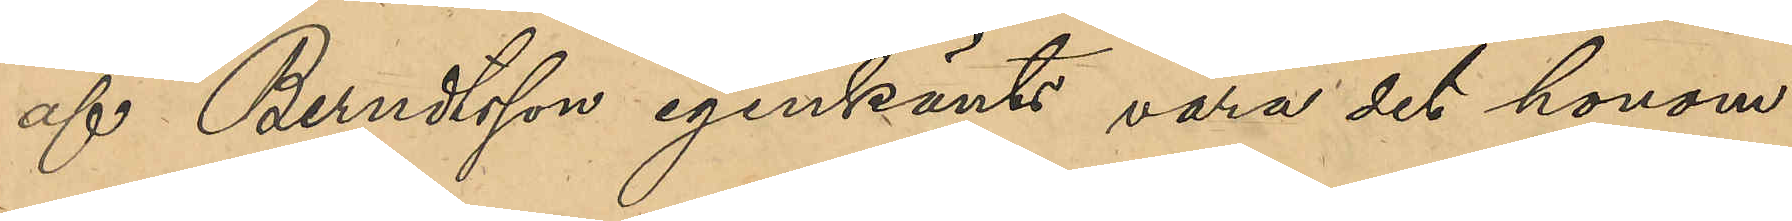af Berndtsson igenkänts vara det honom
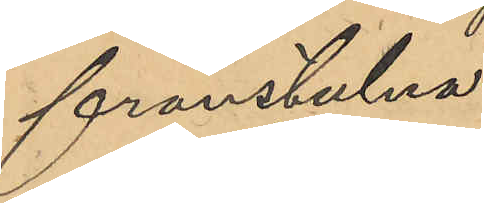frånstulna.
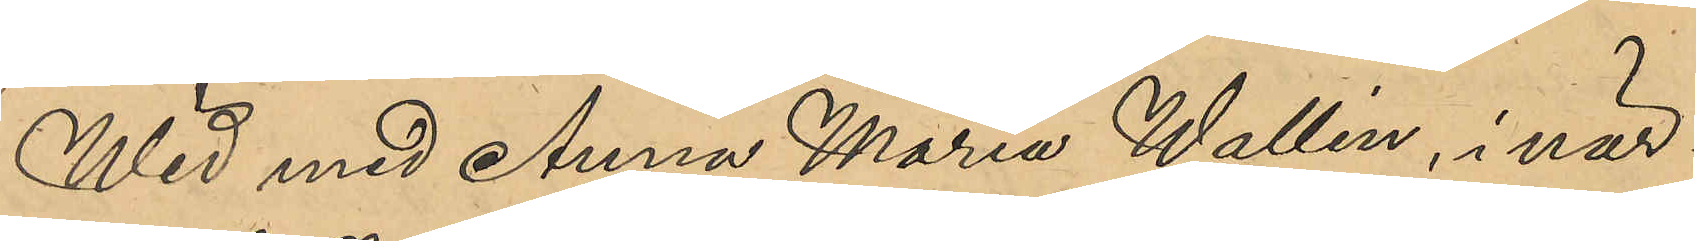Wid med Anna Maria Wallin, i när¬
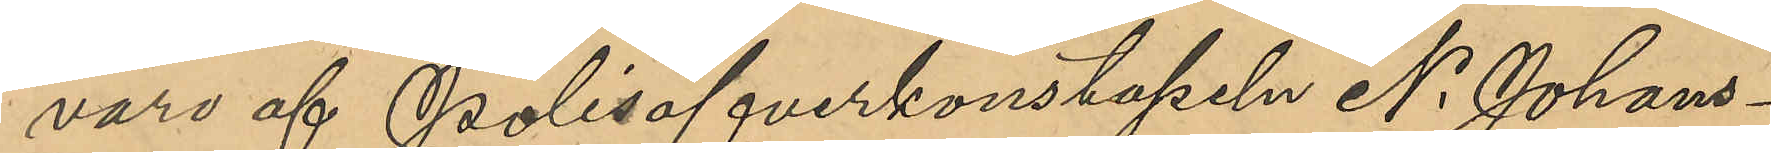varo af Polisöfverkonstapeln N. Johans¬
